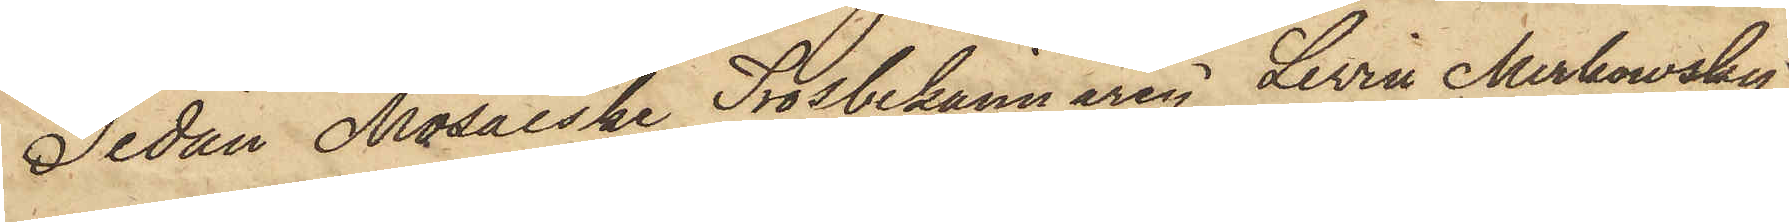Sedan Mosaiske Trosbekännaren Levin Merkowsky,
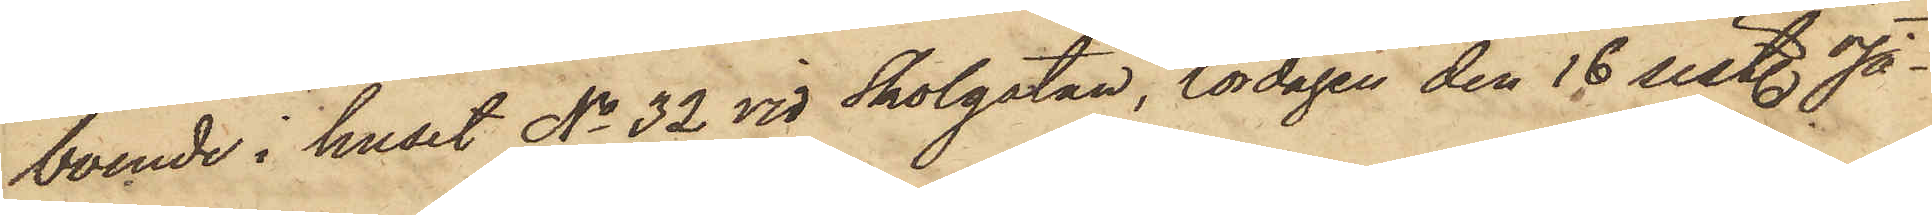boende i huset No 32 vid Skolgatan, lördagen den 18 sist. Ja¬
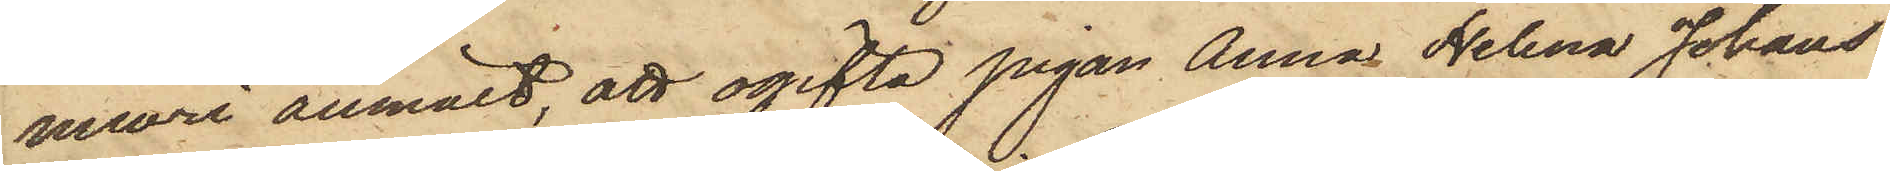nuari anmält, att ogifta pigan Anna Helena Johans¬
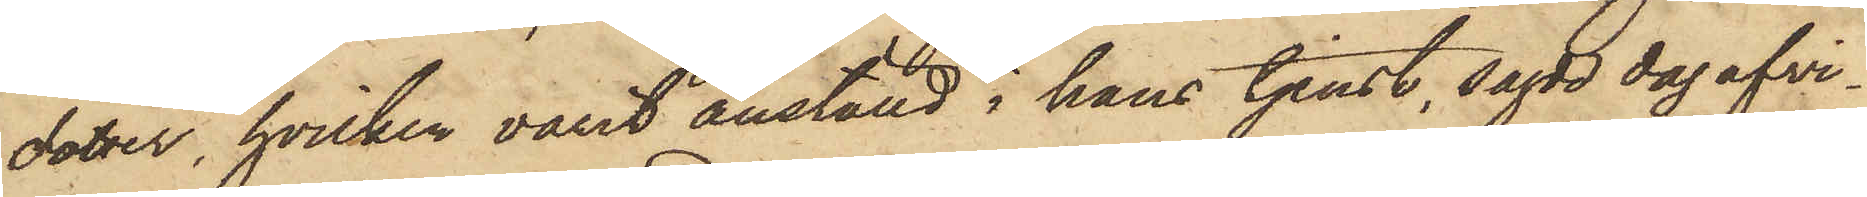dotter, hvilken varit anställd i hans tjenst, sagde dag afvi¬
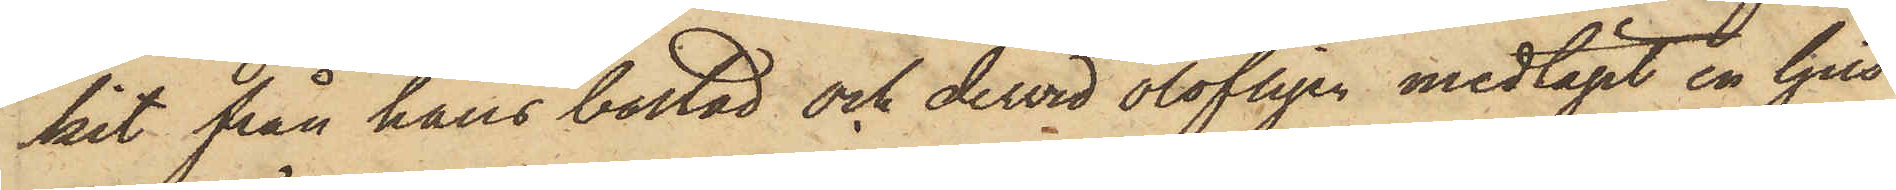kit från hans bostad och derwid olofligen medtagit en ljus
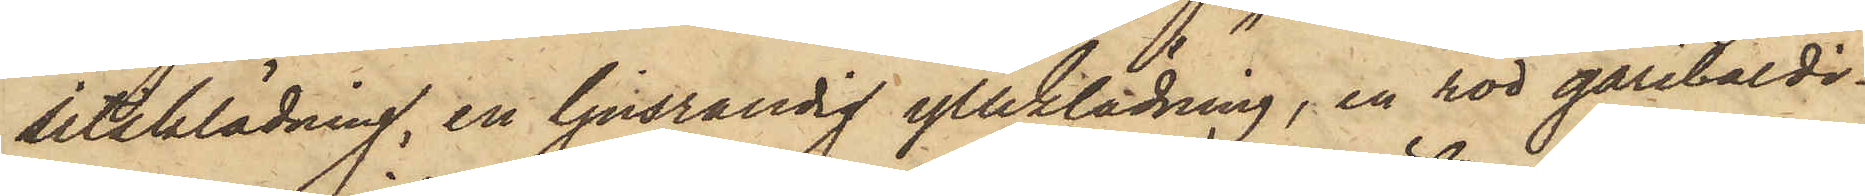sitsklädning, en ljusrandig ylleklädning, en röd garibaldi¬
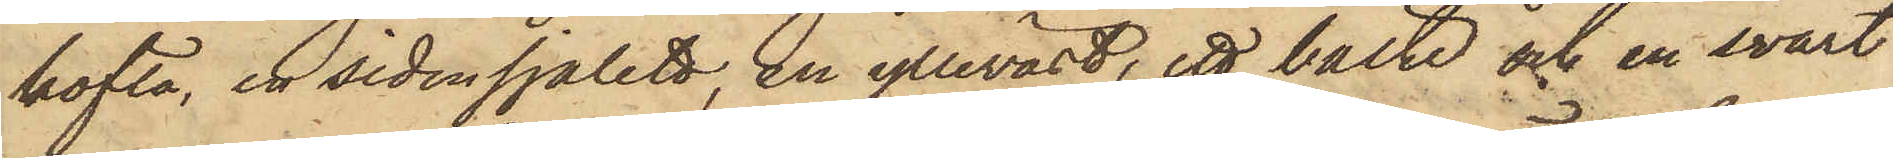kofta, en sidensjalett, en ylleväst, ett bälte och en svart
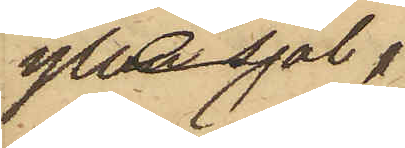yllesjal,
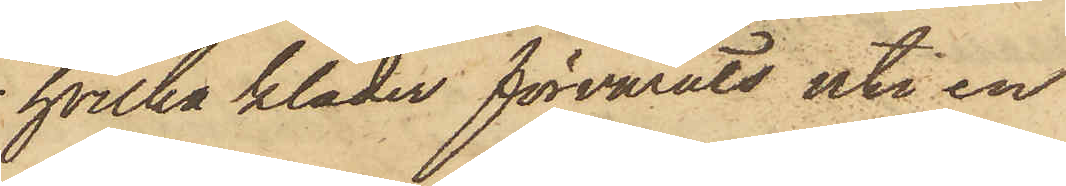hvilka kläder förvarats uti en
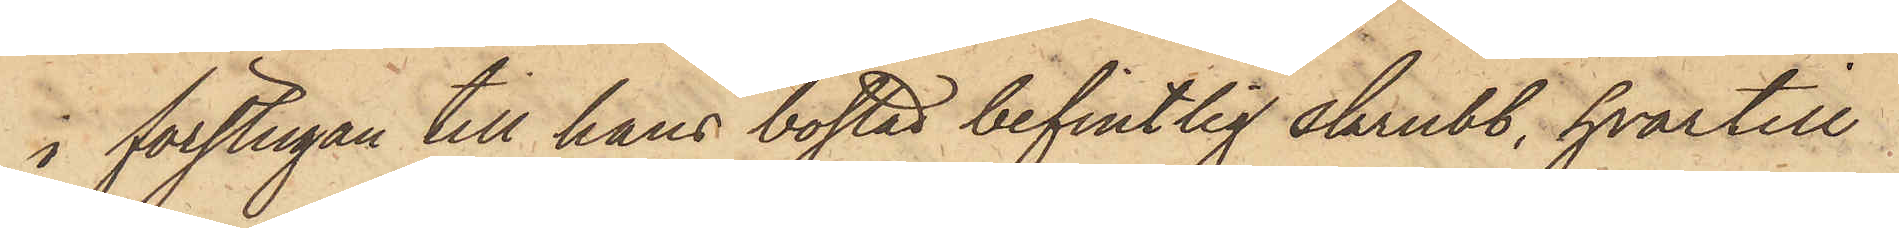i förstugan till hans bostad befintlig skrubb, hvartill
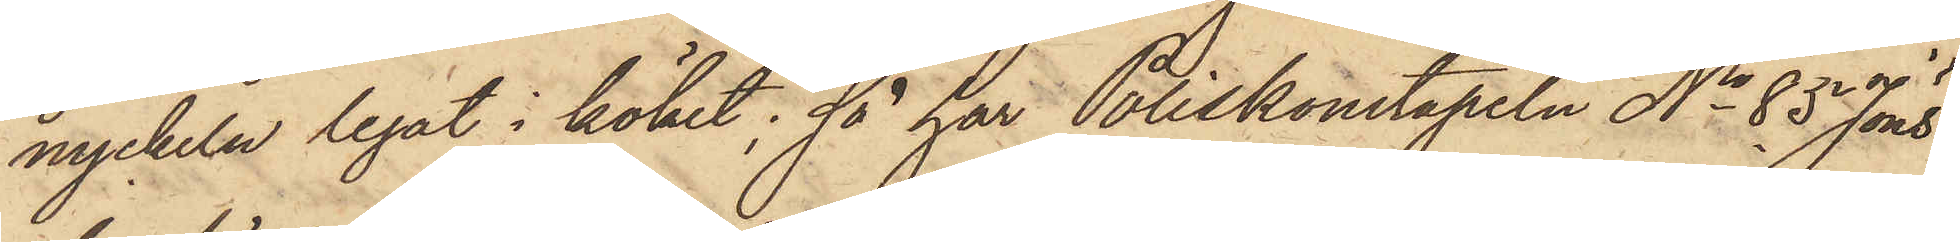nyckeln legat i köket; så har Poliskonstapeln No 85 Jöns¬
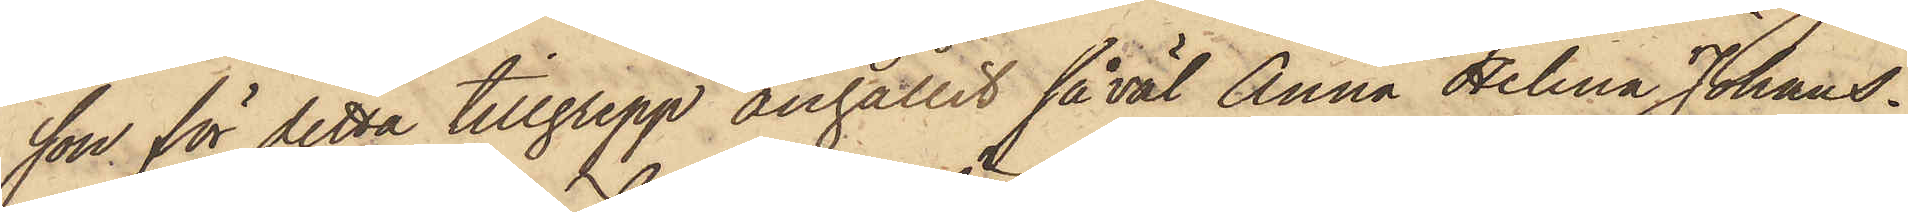son för detta tillgrepp anhållit såväl Anna Helena Johans¬
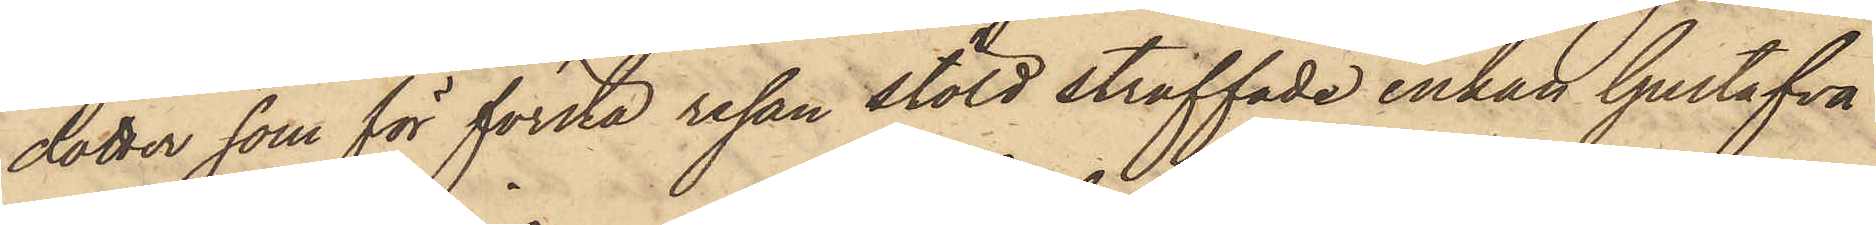dotter som för första resan stöld straffade enkan Gustafva
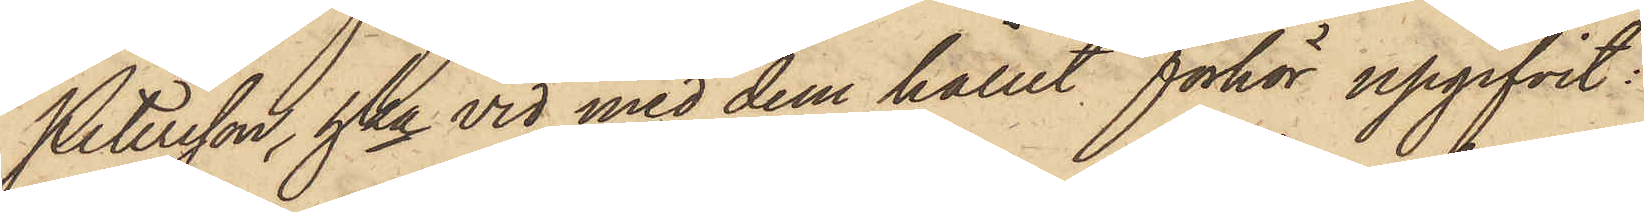Petersson, hka vid med dem hållit förhör upgifvit:
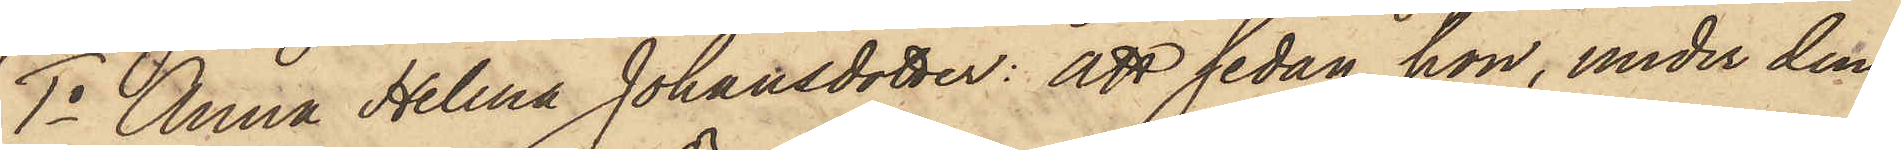1o Anna Helena Johansdotter: att sedan hon, under den
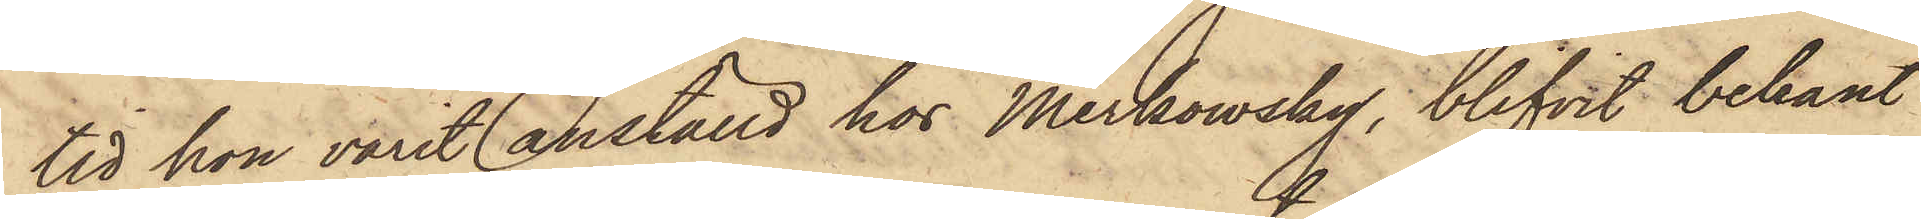tid hon varit anställd hos Merkowsky, blifvit bekant
